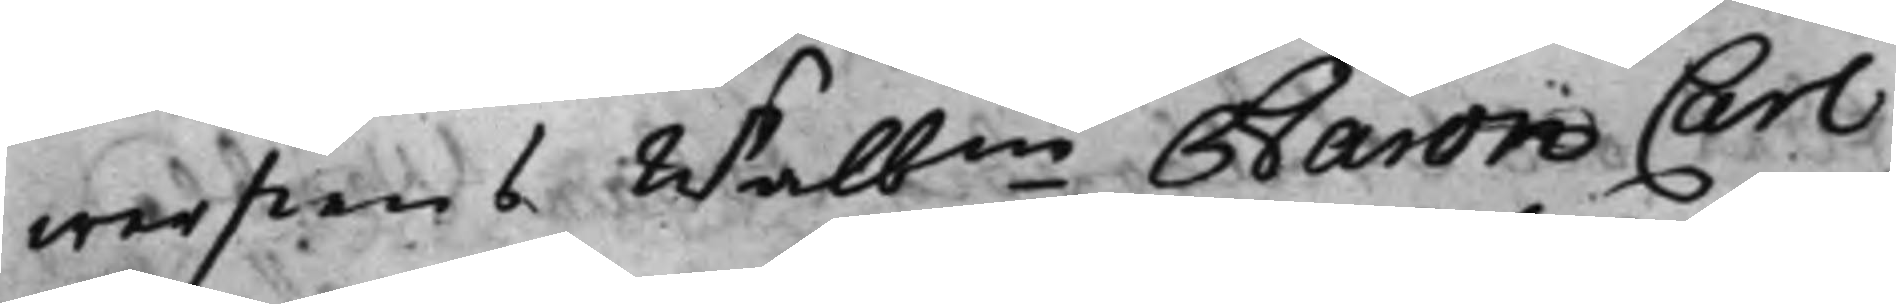werstens Wälb.ne Baron Carl
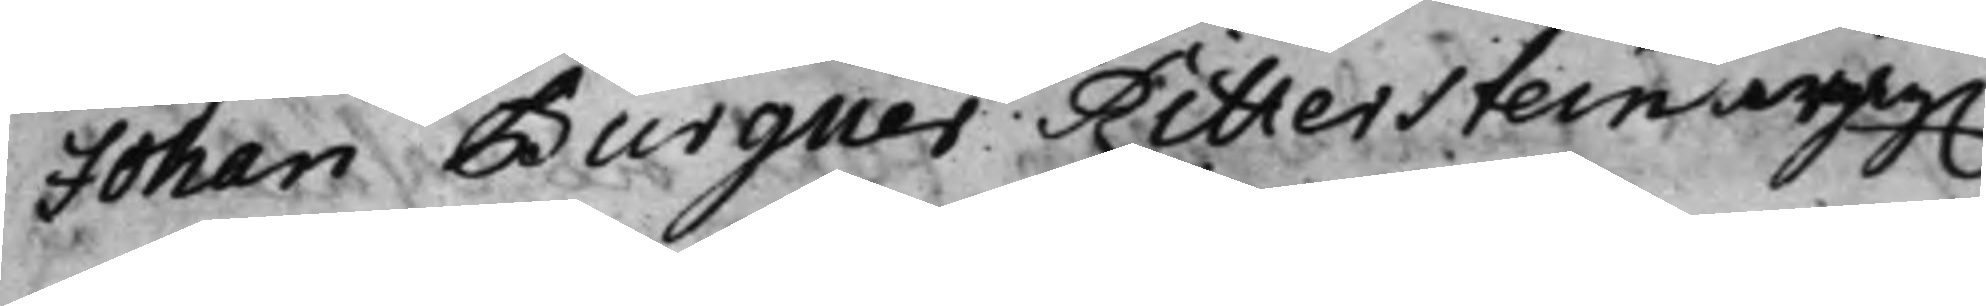Johan Burgues Ritterstein ingäg.
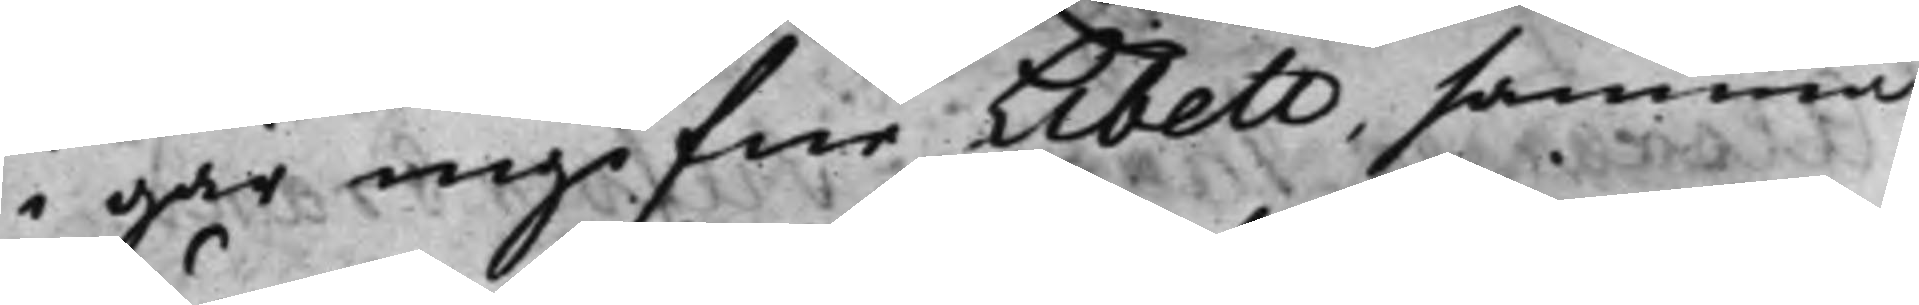i går ingifne Libell, samma
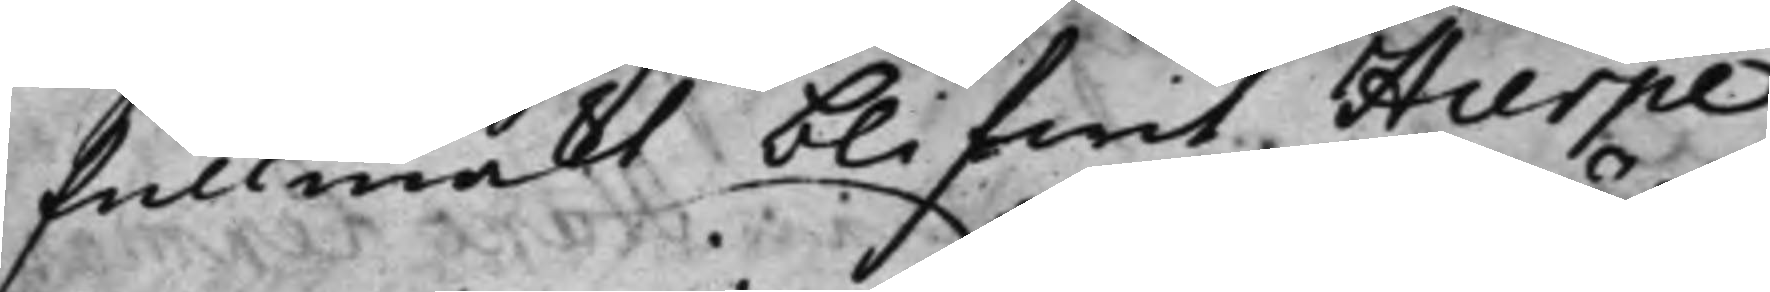fullmackt blifwit Hierpe
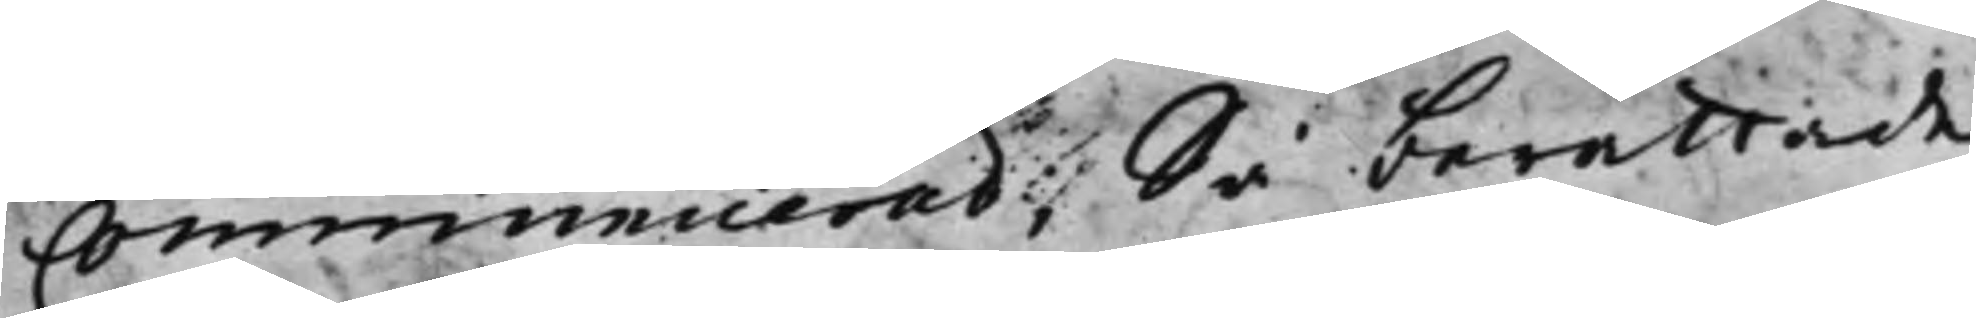communicerad; Så berättade
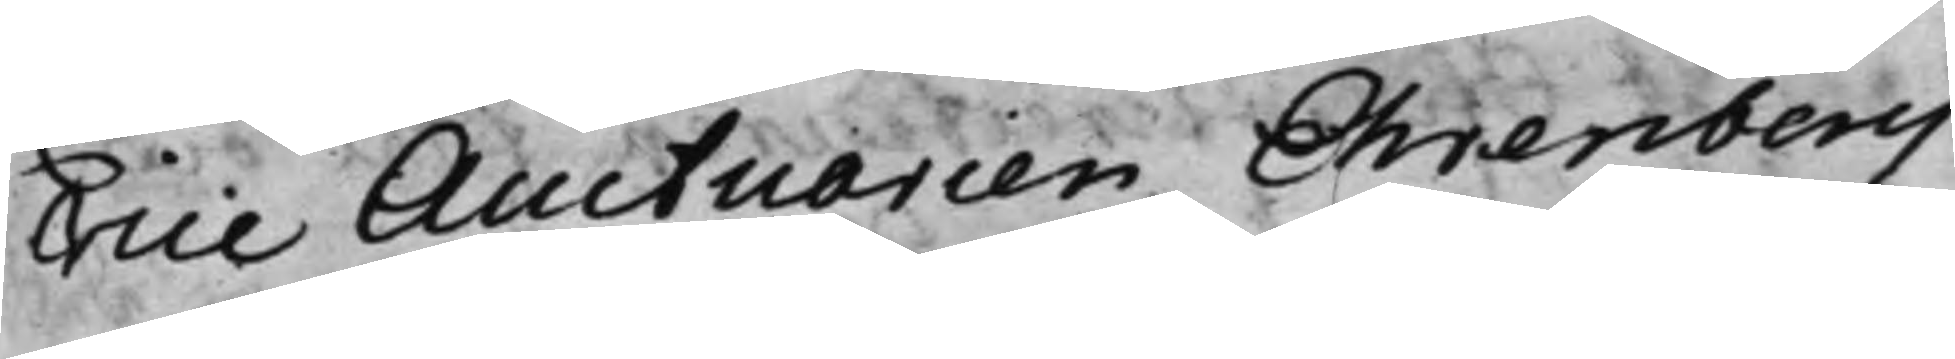Vice Auctuarien Ehrenberg,
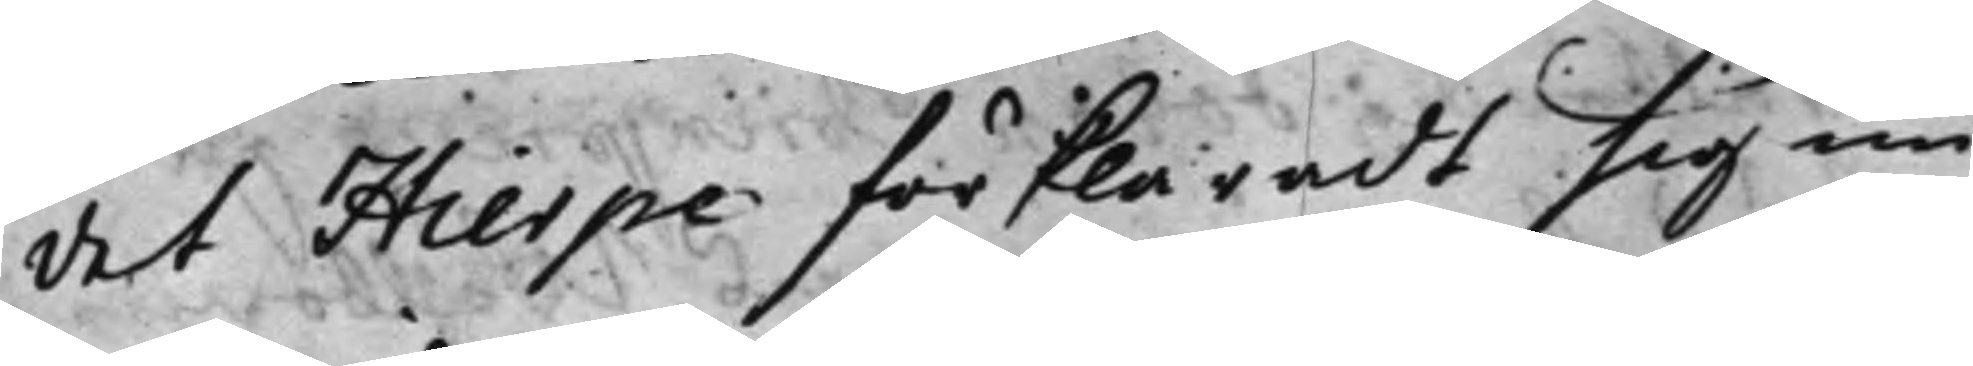det Hierpe förklaradt sig nu
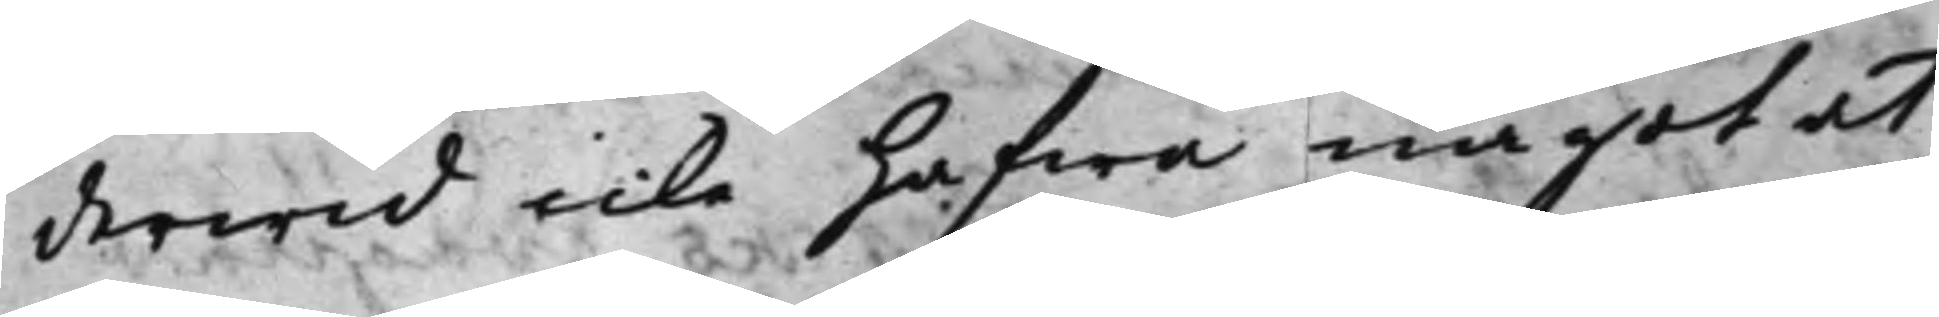derwid icke hafwa något at
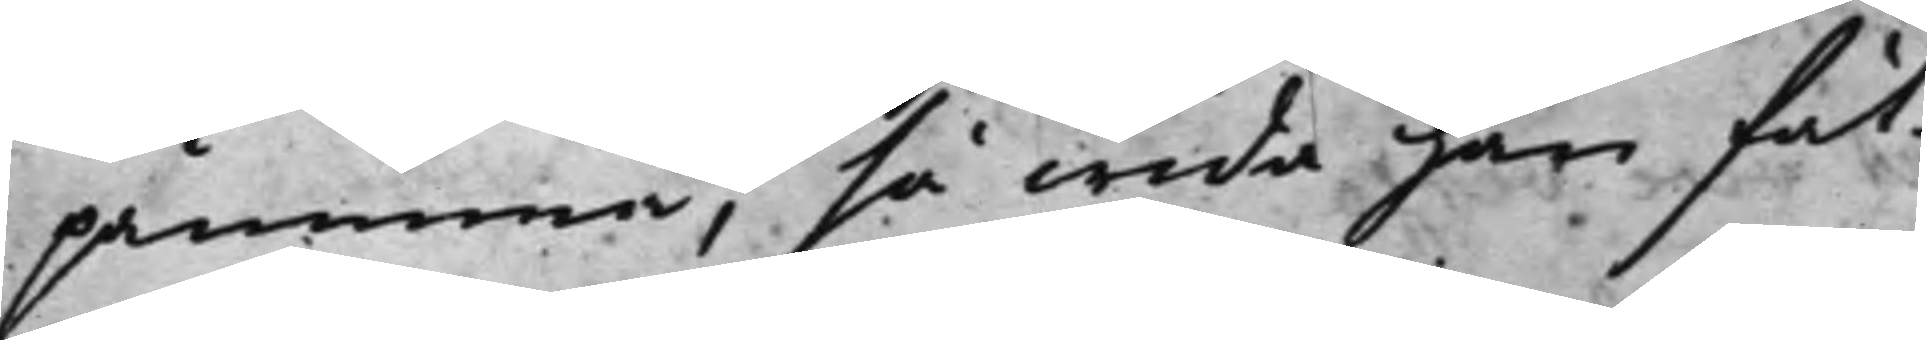påminna, så wida han fåt
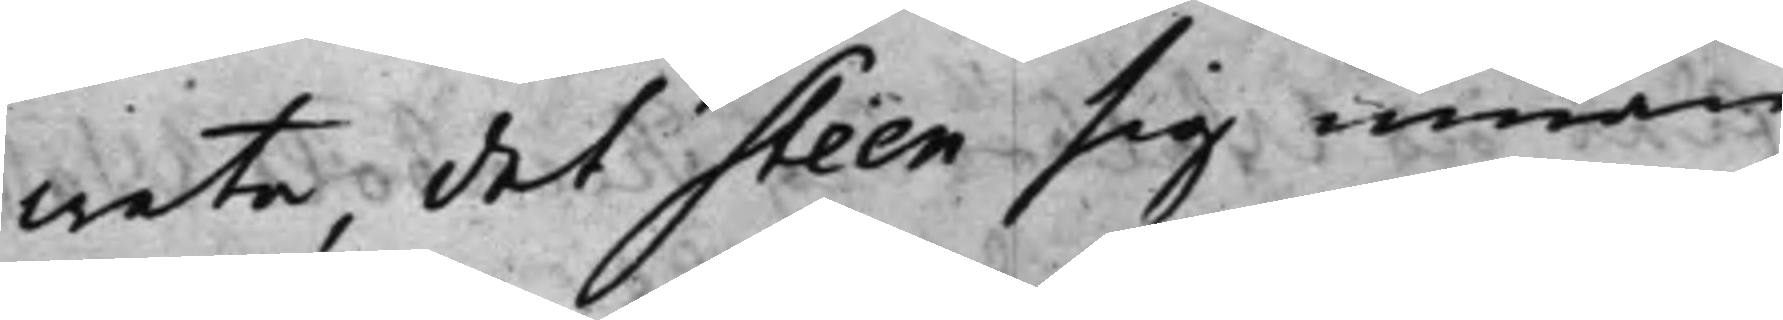weta, det Steen sig innan
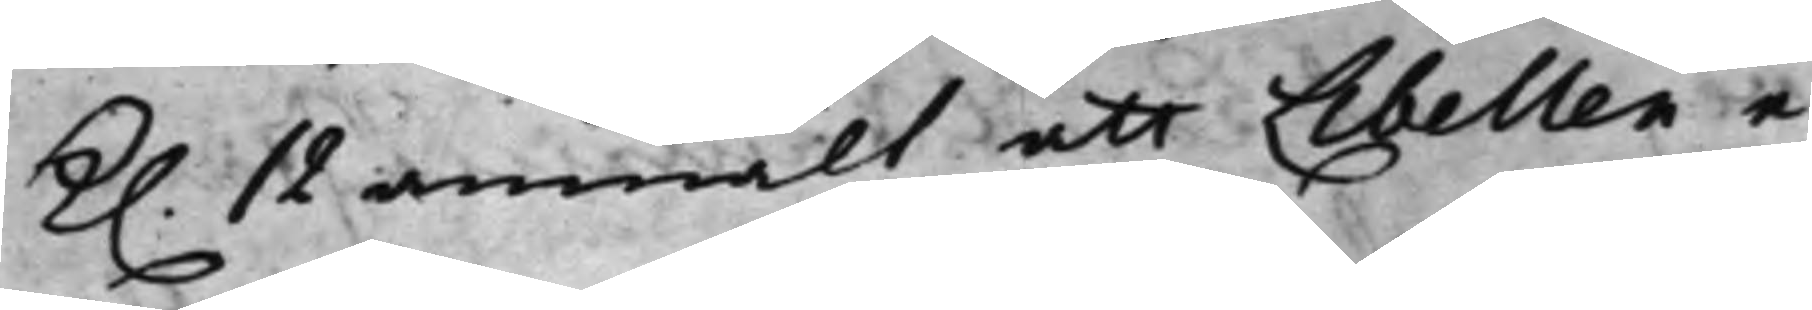K. 12 anmält att Libellen e¬
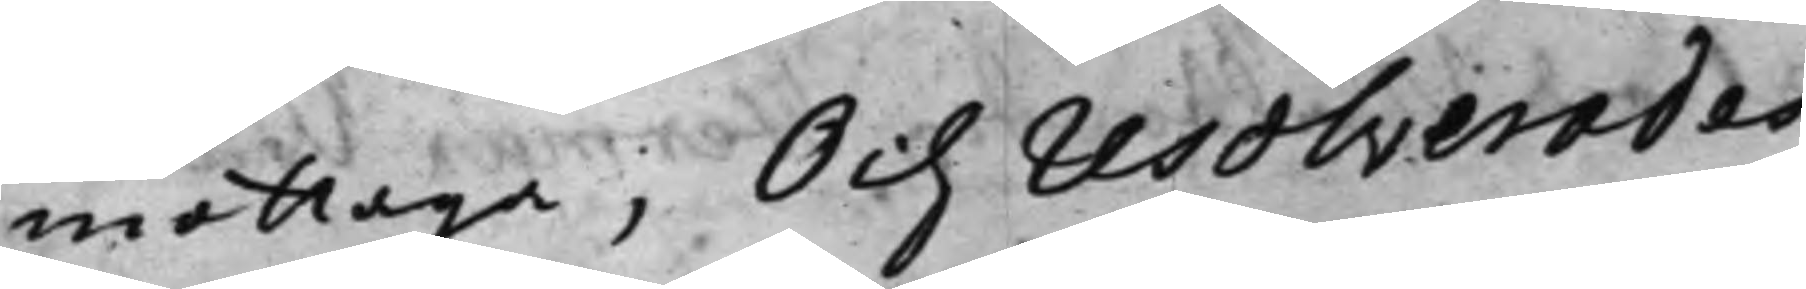mottaga; Och resolverades,
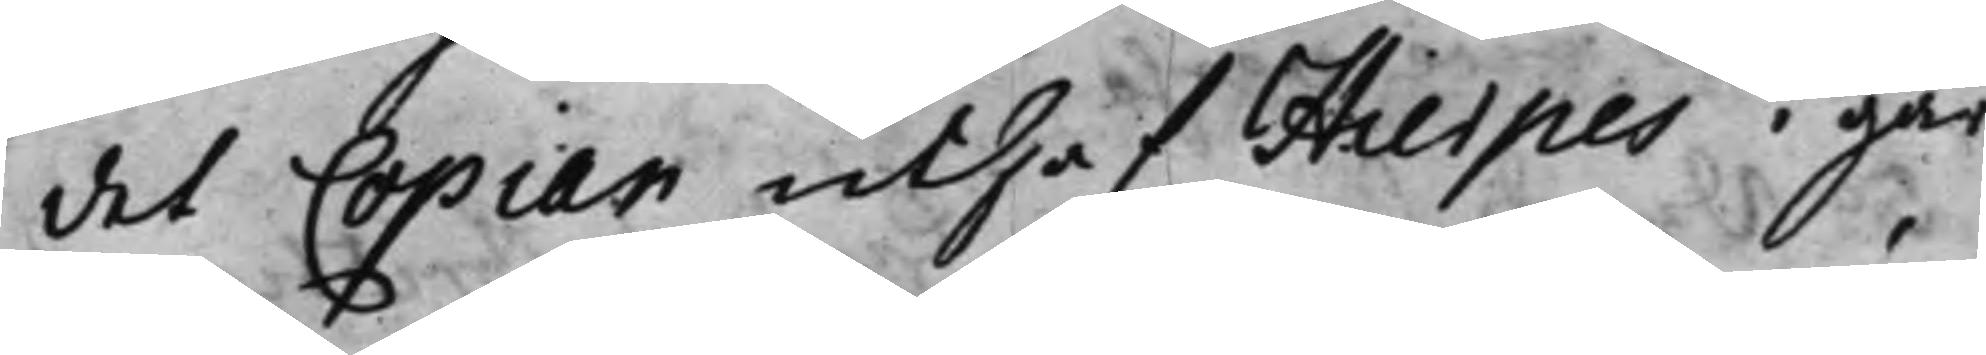det Copian uthaf Hierpes i går
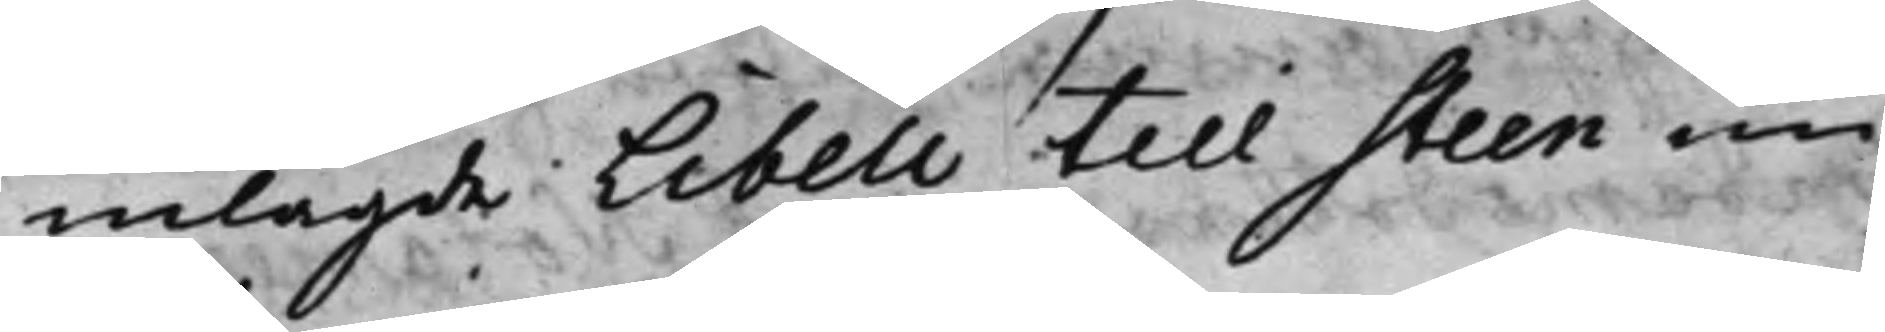inlagde Libell till Steen nu
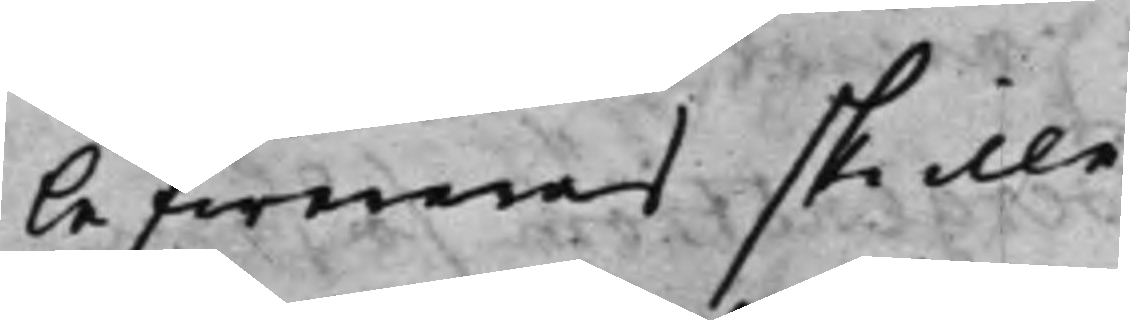lefwereras skulle.
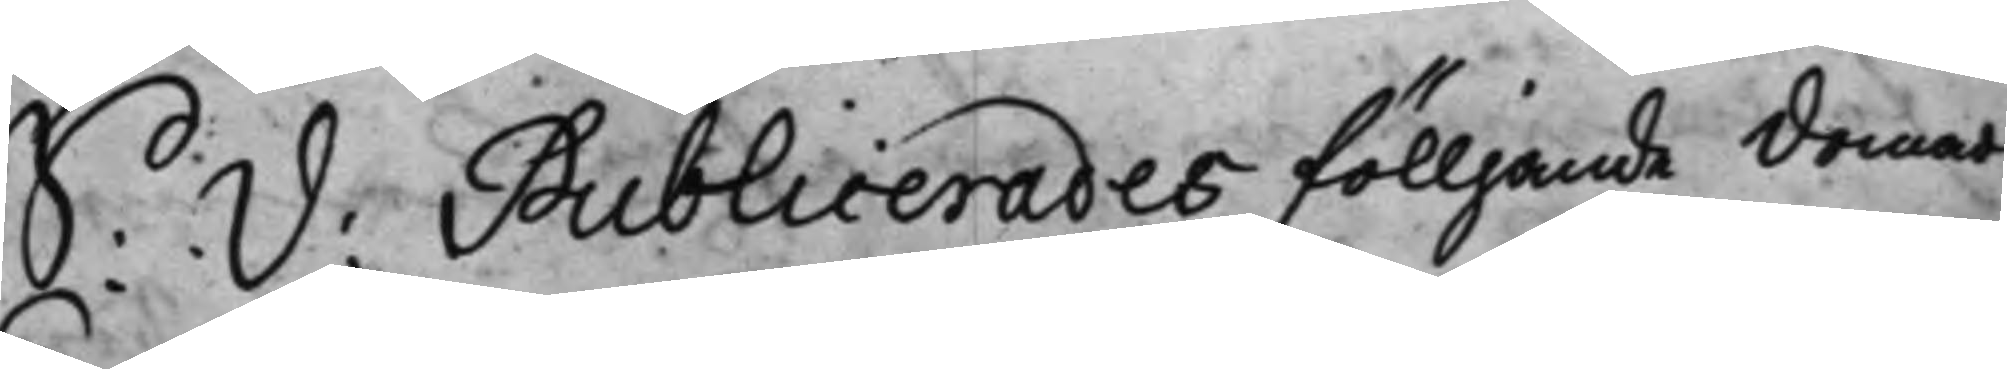S: d: Publicerades fölljande domar
